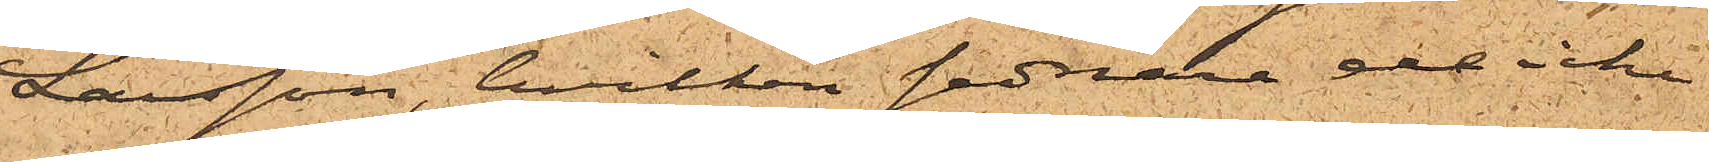Larsson, hvilken sednare de icke
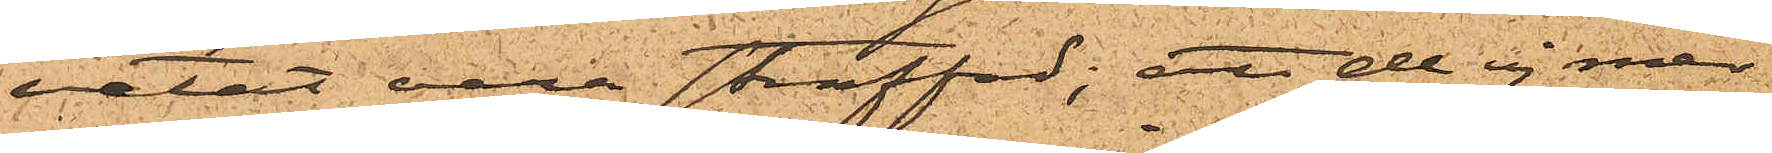vetat vara straffad; att de ej med
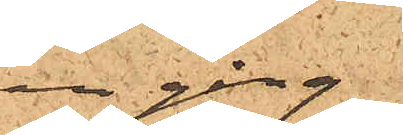en gång
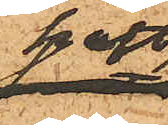haft
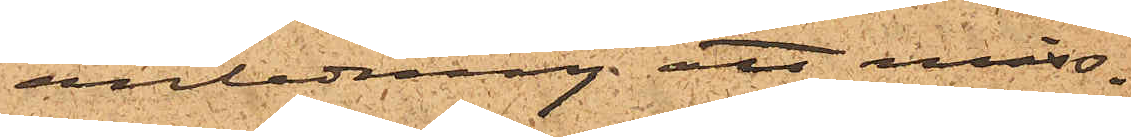anledning att miss¬
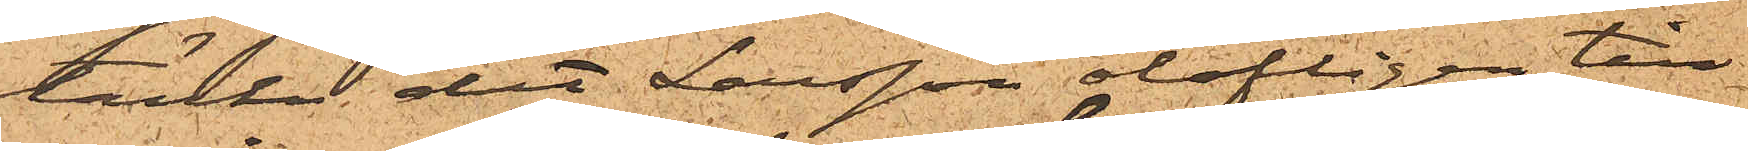tänka det Larsson olofligen till¬
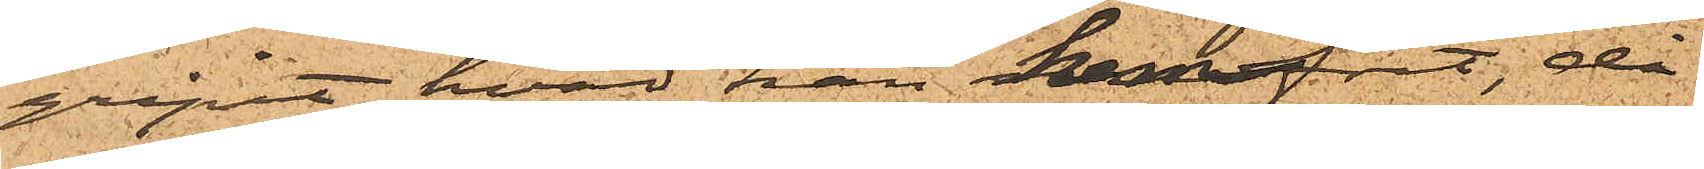gripit hvad han hemfört, då
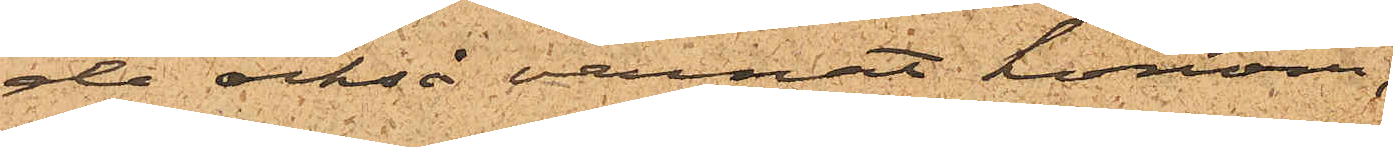de också varnat honom;
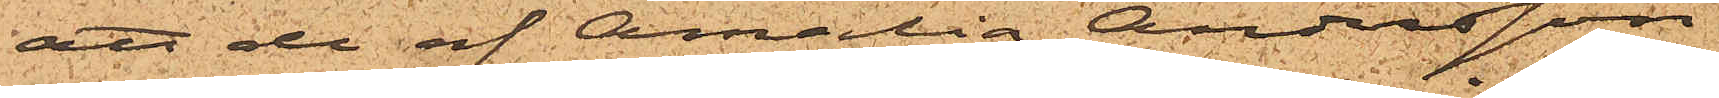att de af Amalia Andersson
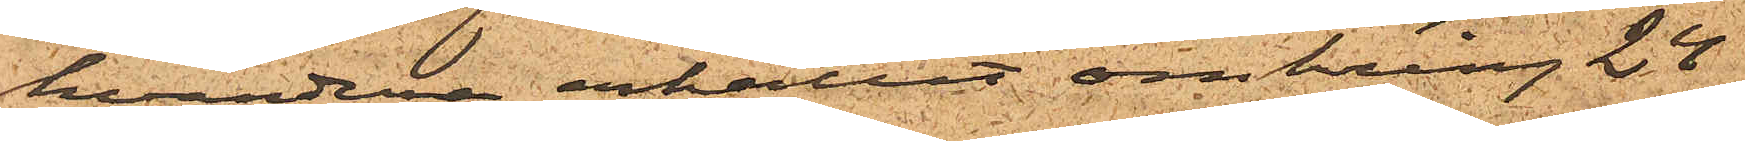hvardera erhållit omkring 24
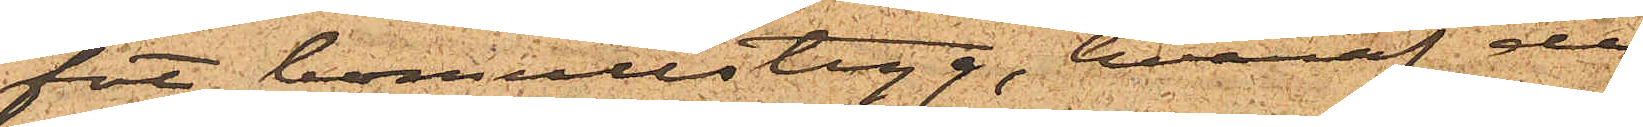fot bomullstyg, hvaraf de
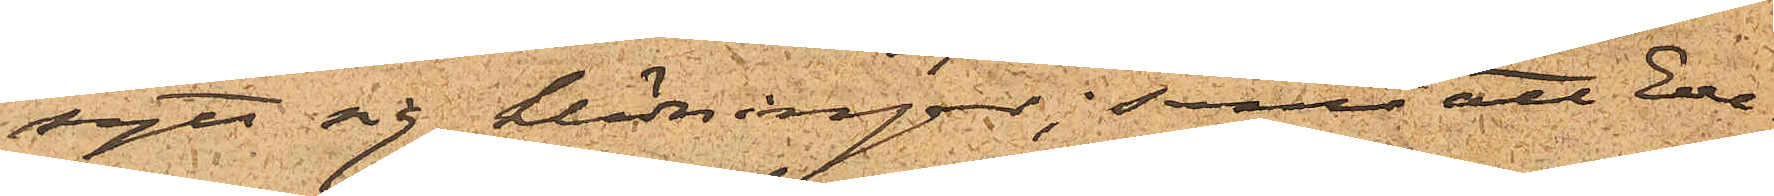sytt sig klädningar; samt att Eve¬
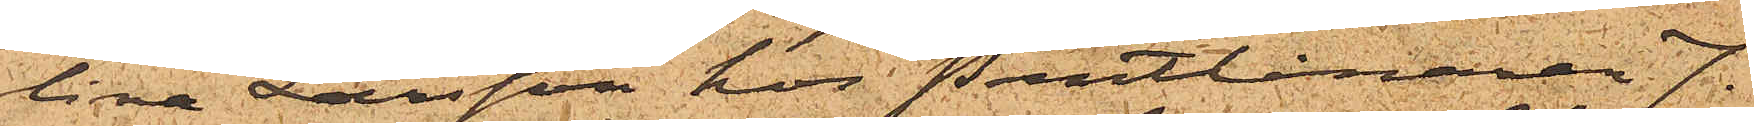lina Larsson hos Pantlånaren J.
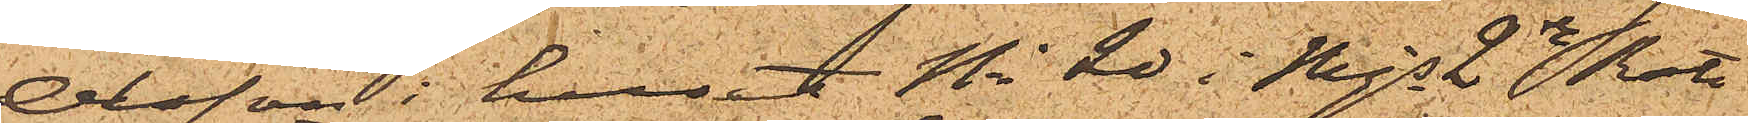Olsson i huset No 20 i Mjs 2re Rote
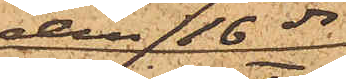den 16 ds
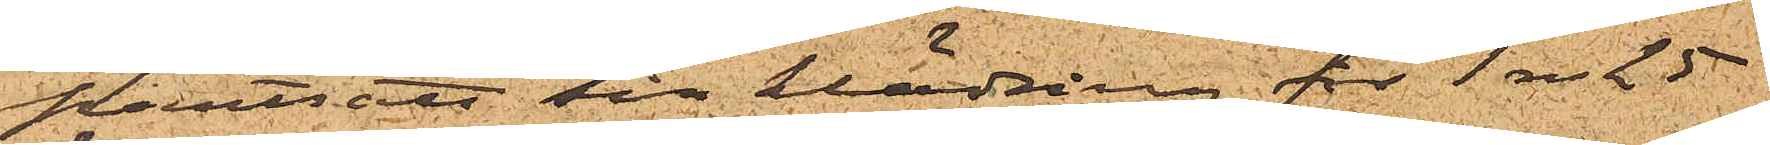pantsatt sin klädning för 1 Rdr 25
